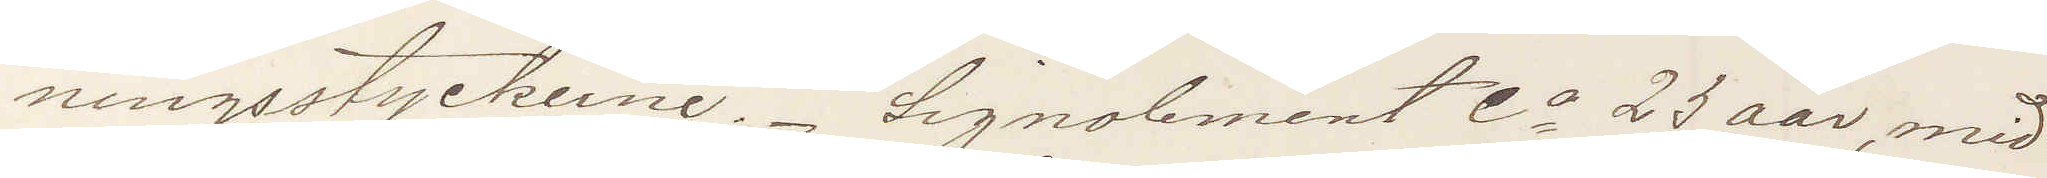ningsstyckene. Signalement Ca 23 aar, mid¬
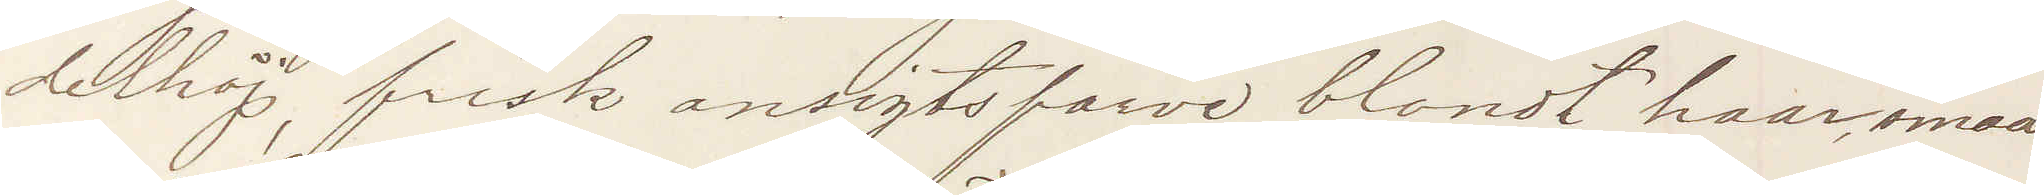delhöj, frisk ansigtsfarve blondt haar, smaa
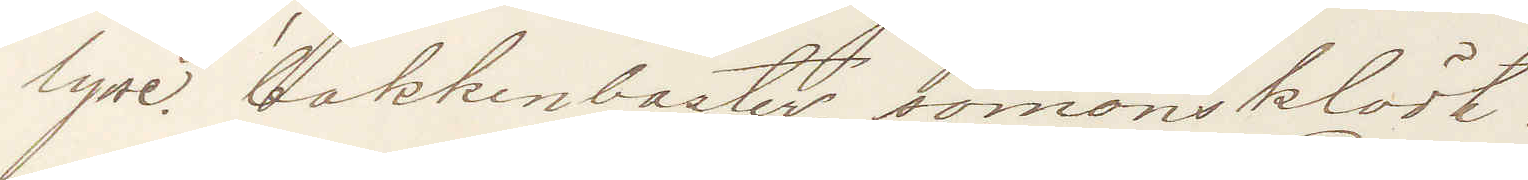lyse bakkenbarter, sömansklädt.
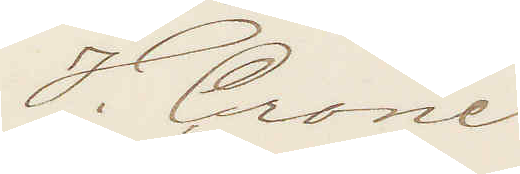V. Crone
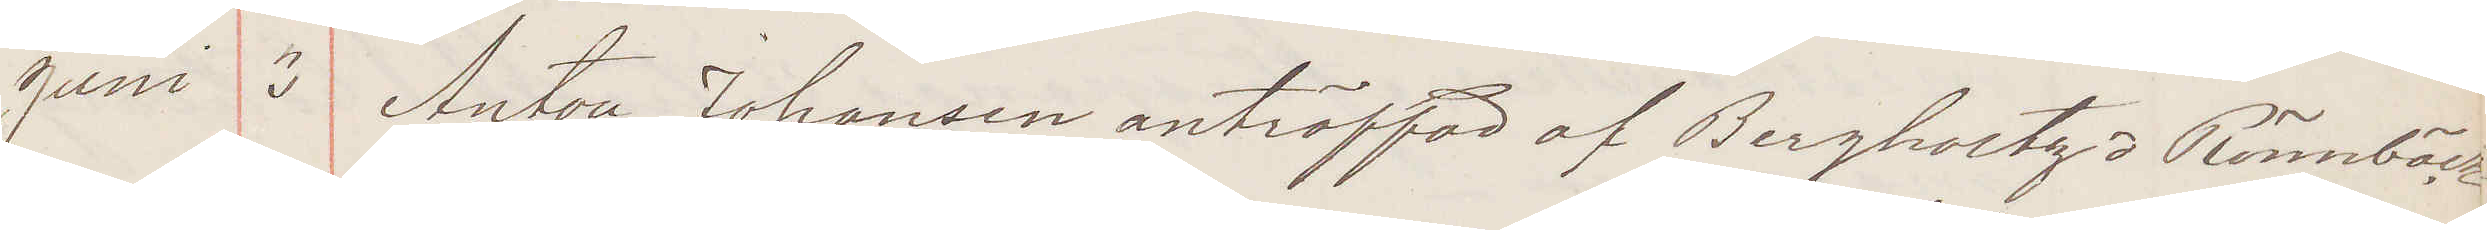Juni 3 Anton Johansen anträffad af Bergholtz o Rönnbäck
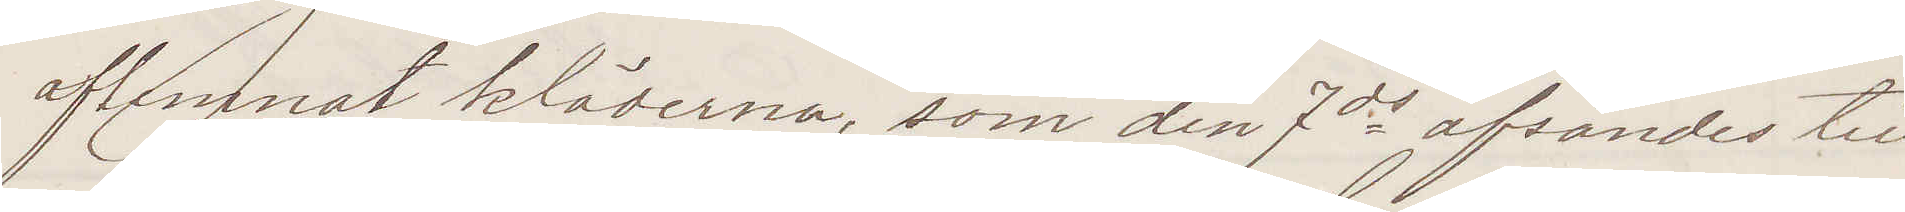aflemnat kläderna, som den 7ds afsändes till
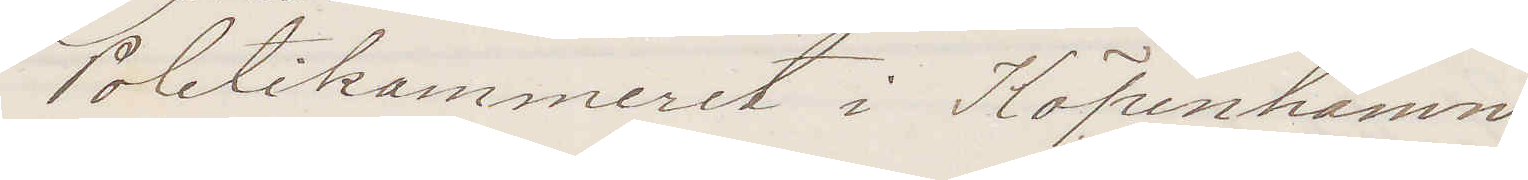Politikammeret i Köpenhamn
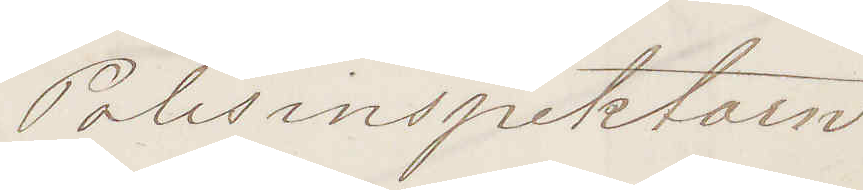Polisinspektorn
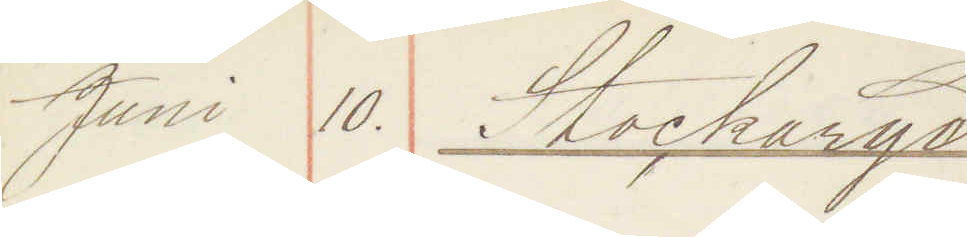Juni 10. Stockaryd
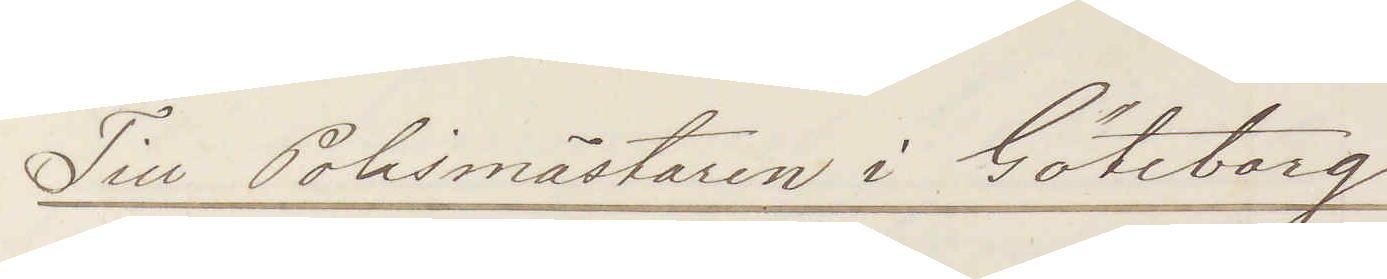Till Polismästaren i Göteborg!
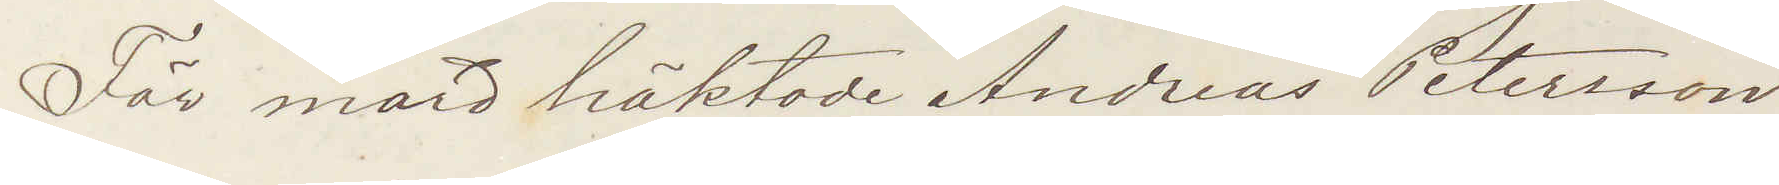För mord häktade Andreas Petersson
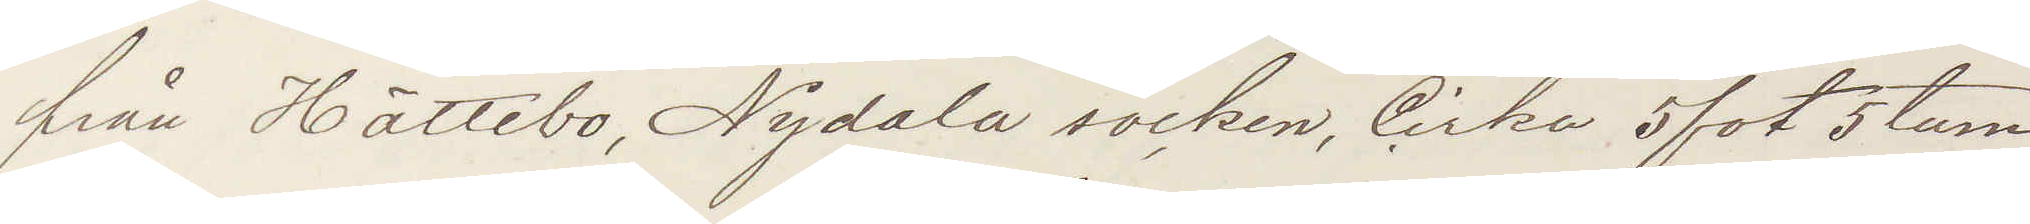från Hättebo, Nydala socken, Cirka 5 fot 5 tum
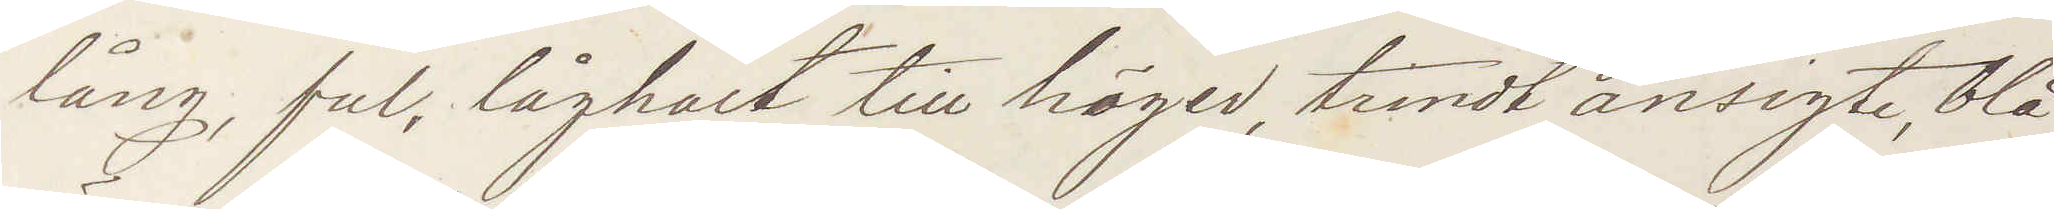lång, ful, låghalt till höger, trindt ansigte, blå
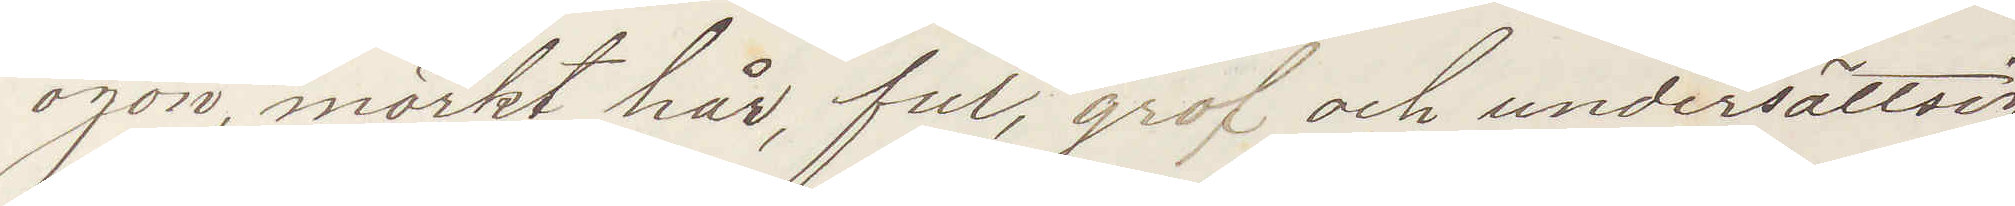ögon, mörkt hår, ful, grof och undersättsig
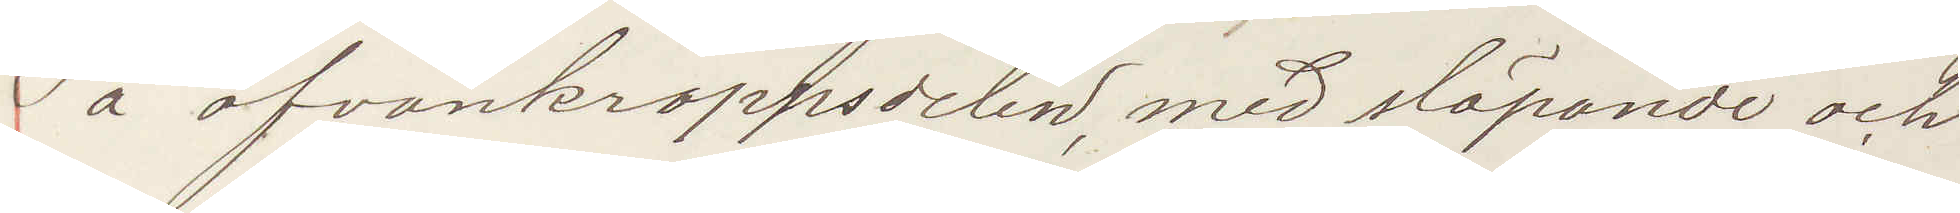å ofvankroppsdelen, med släpande och
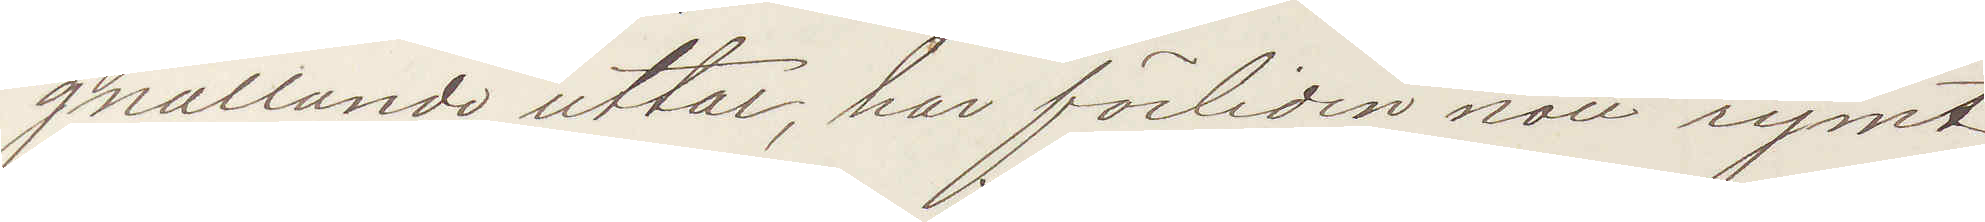gnällande uttal, har förliden natt rymt
